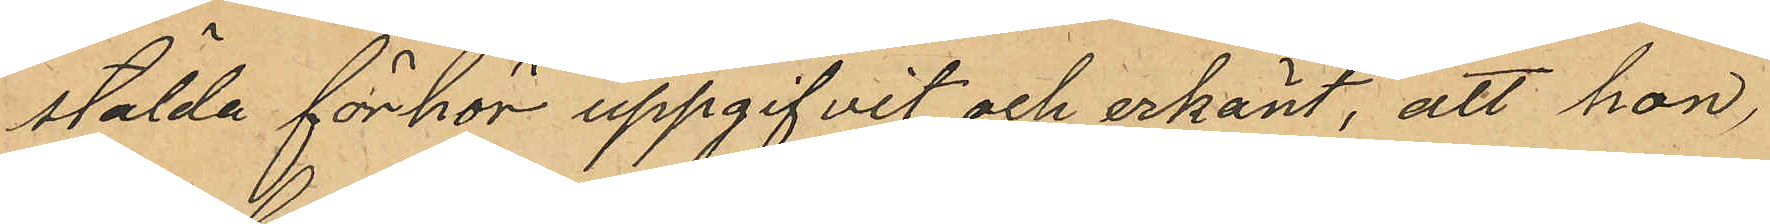stälda förhör uppgifvit och erkänt, att hon,
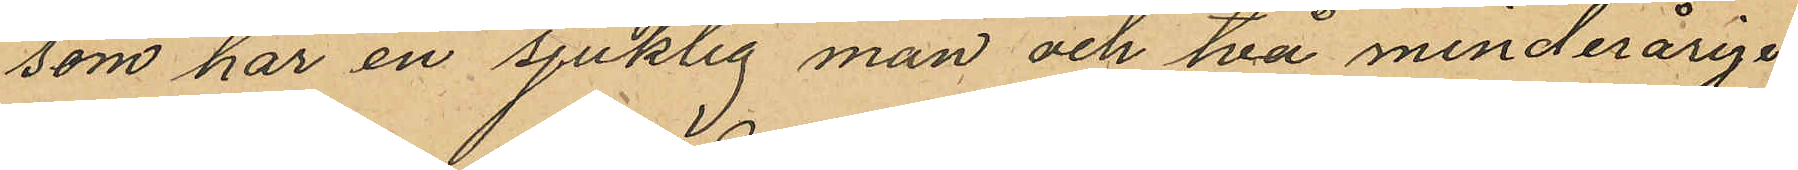som har en sjuklig man och två minderåriga
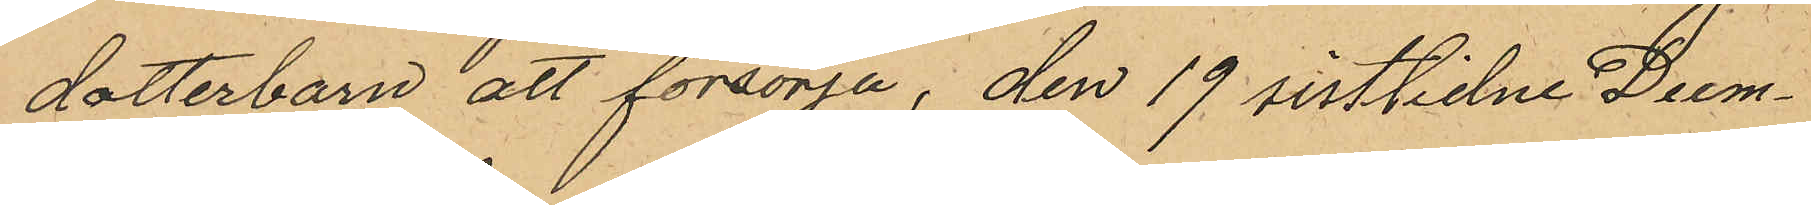dotterbarn att försörja, den 19 sistlidne Decm¬
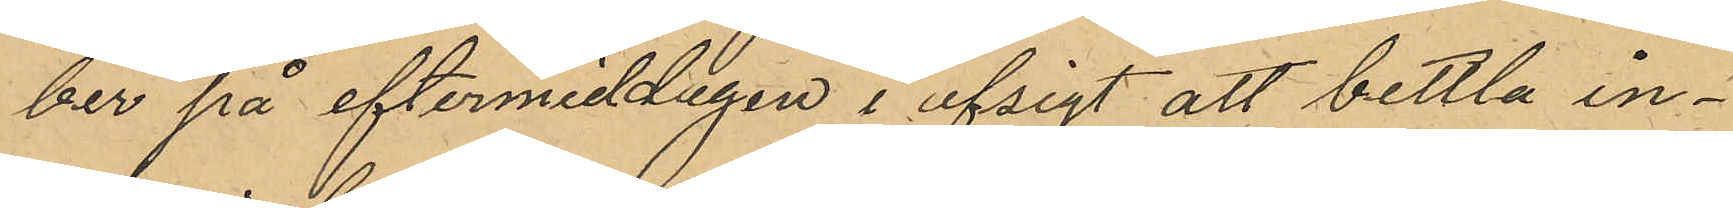ber på eftermiddagen i afsigt att bettla in¬
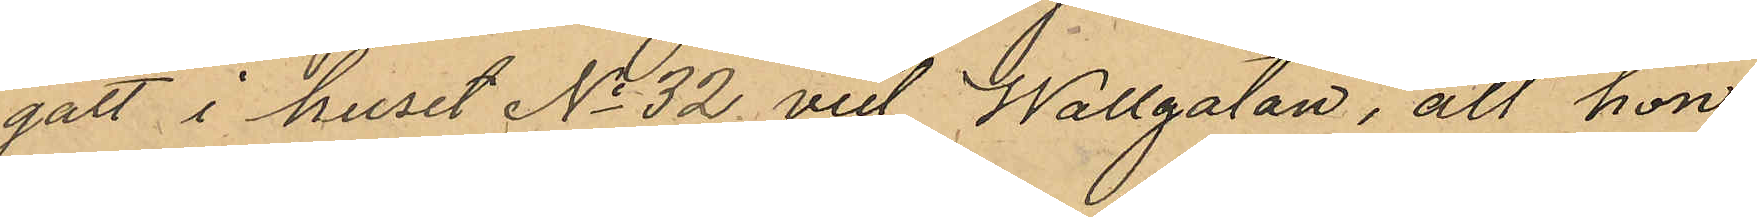gått i huset No 32 vid Wallgatan, att hon
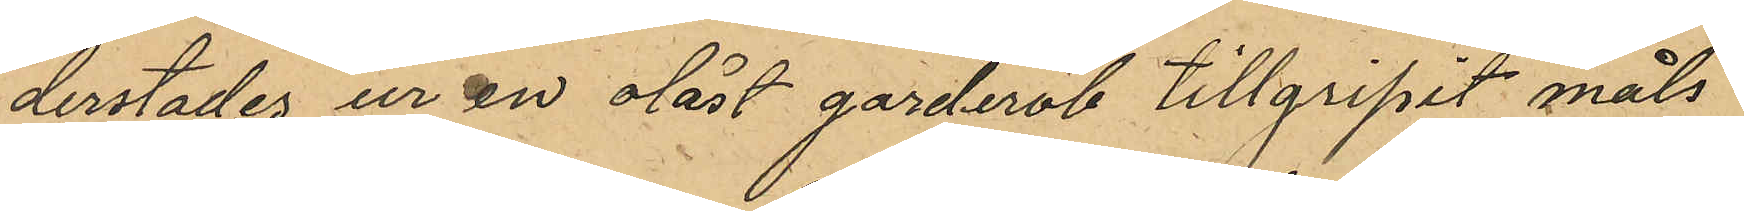derstädes ur en olåst garderob tillgripit måls
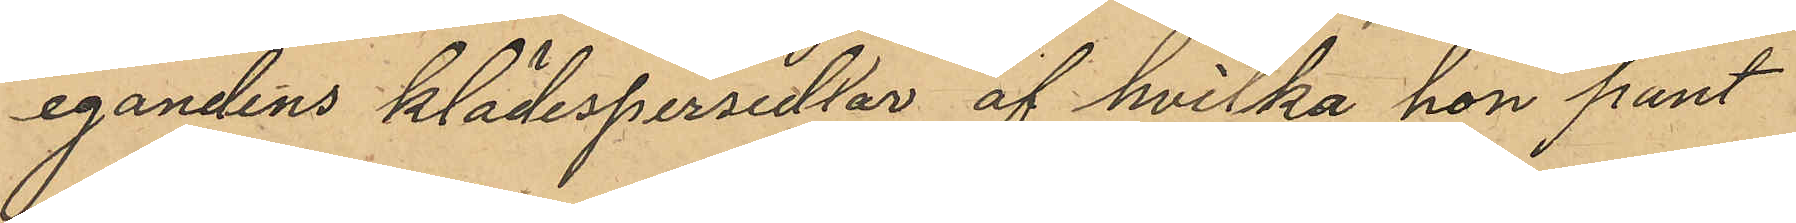egandens klädespersedlar af hvilka hon pant
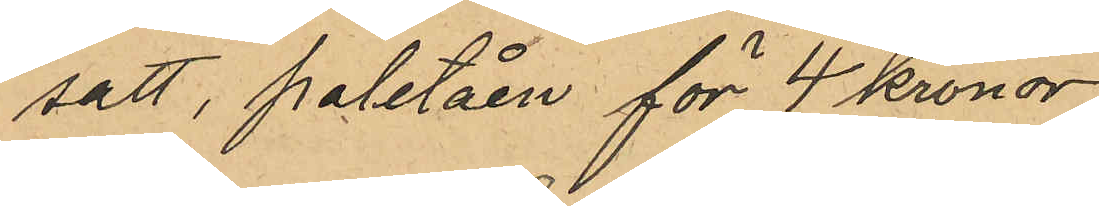satt, paletåen för 4 kronor
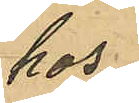hos
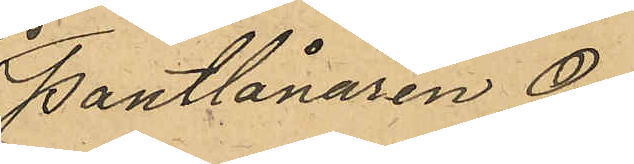Pantlånaren O.
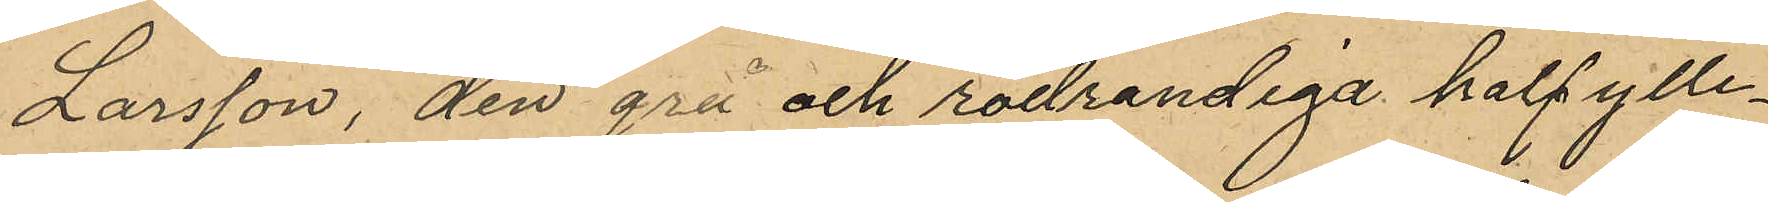Larsson, den grå och rödrandiga halfylle¬
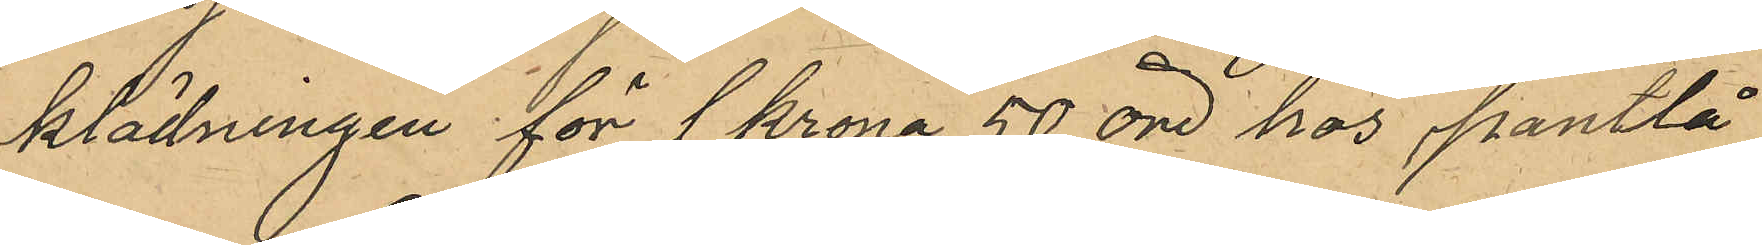klädningen för 1 krona 50 öre hos Pantlå
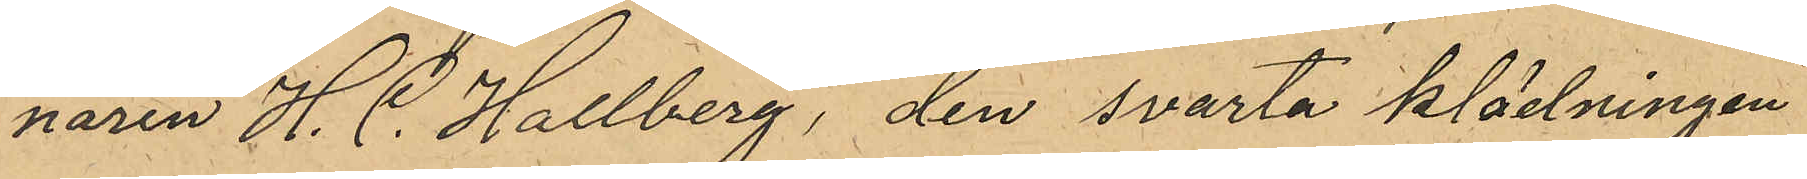naren H. C. Hallberg, den svarta klädningen
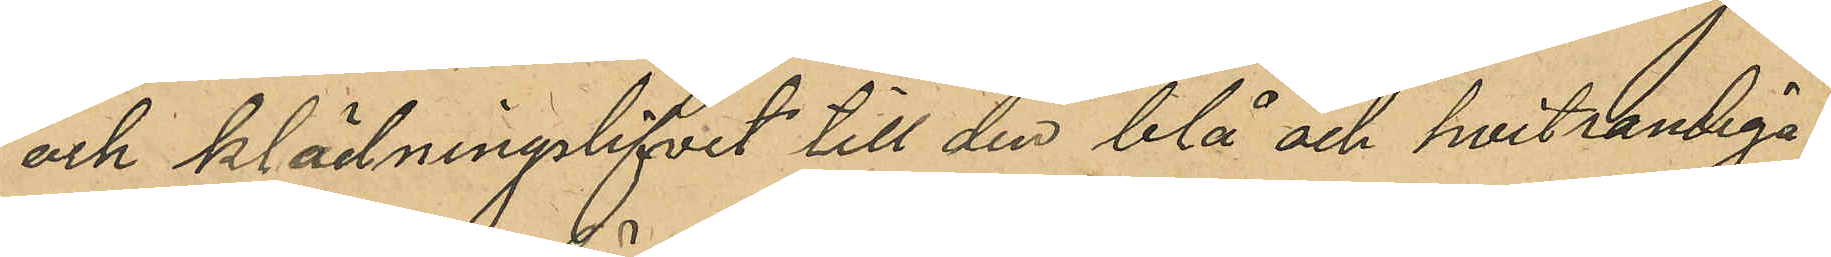och klädninglifvet till den blå och hvitrandiga
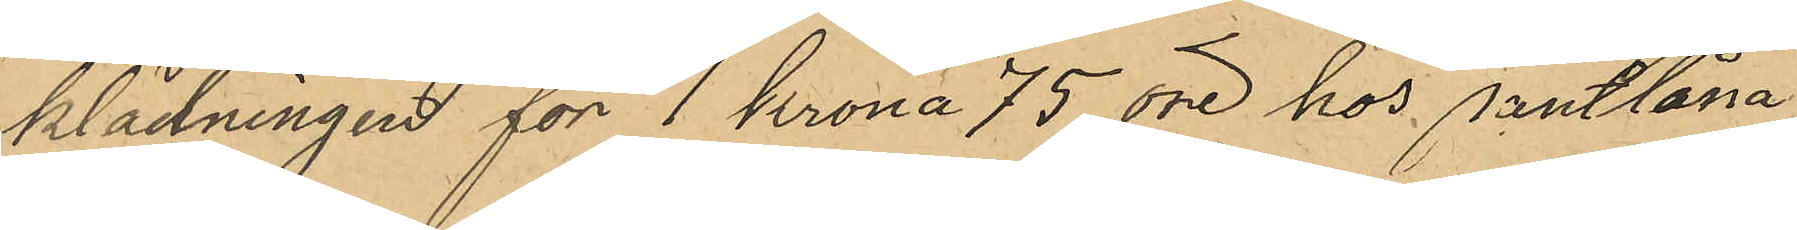klädningen för 1 krona 75 öre hos pantlåna
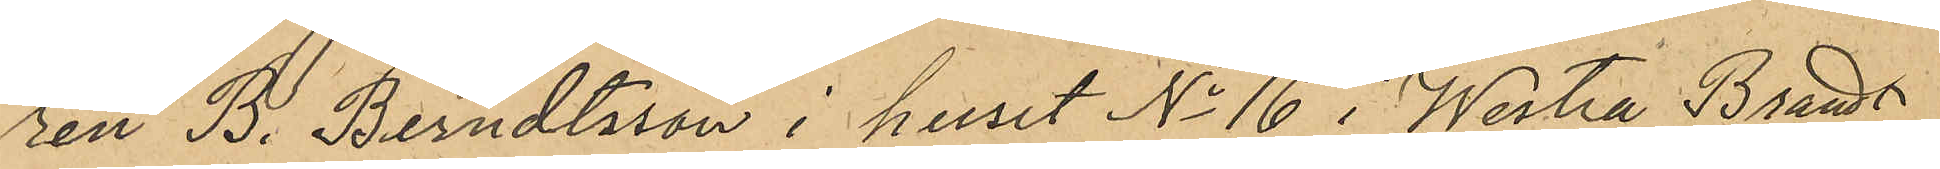ren B. Berndtsson i huset No 16 i Westra Brandt¬
